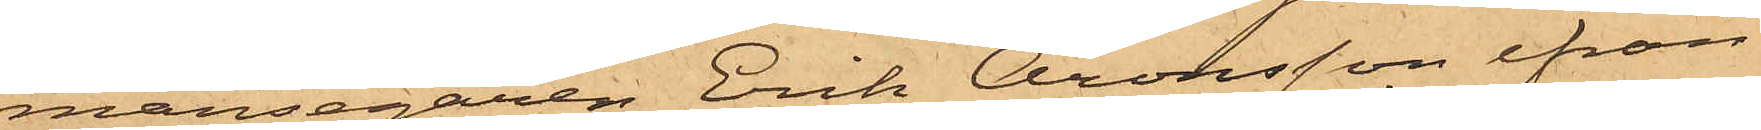mansegaren Erik Aronsson ifrån
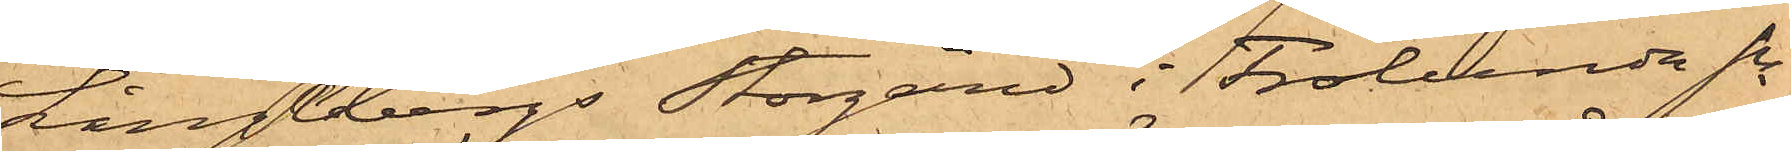Långebergs Storgård i Frölunda sn
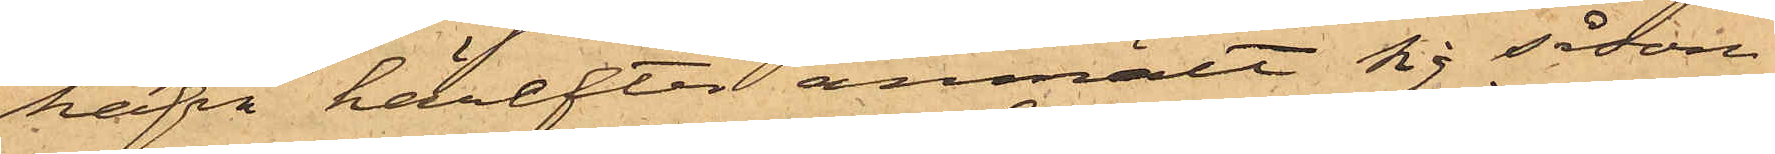hafva härefter anmält sig såsom
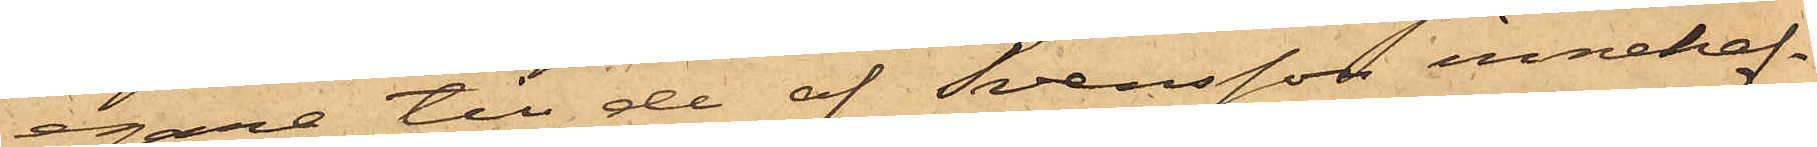egare till de af Svensson innehaf¬
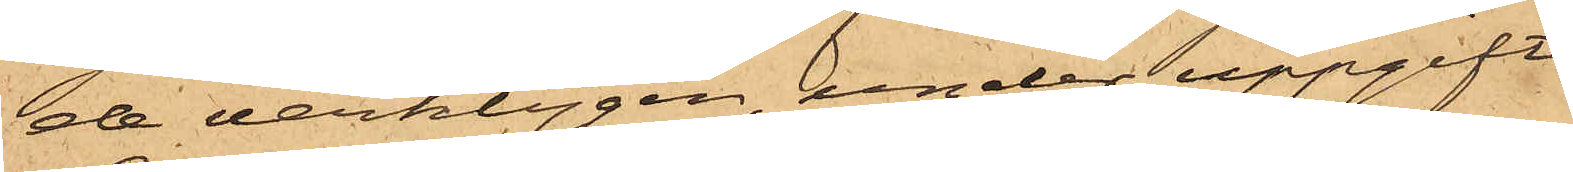de verktygen, under uppgift
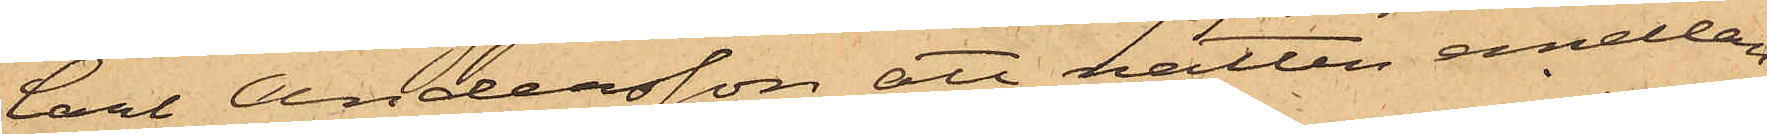Carl Andersson att natten emellan
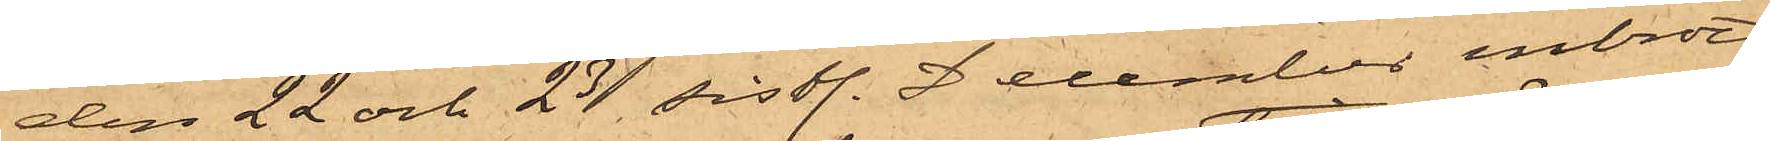den 22 och 23 sistl. 2 December inbrott
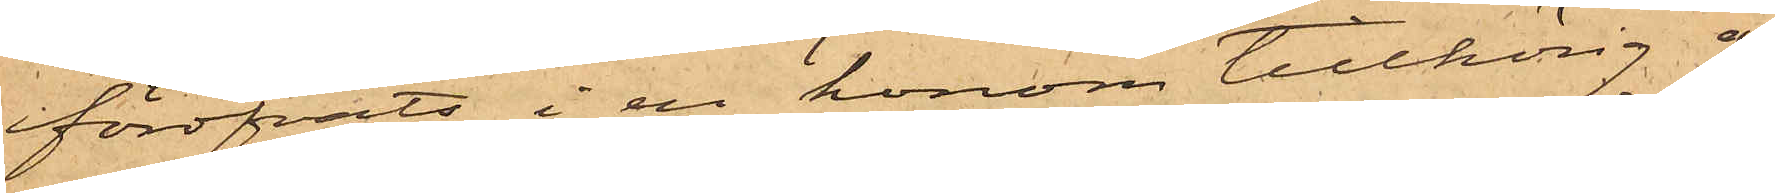föröfvats i en honom tillhörig å
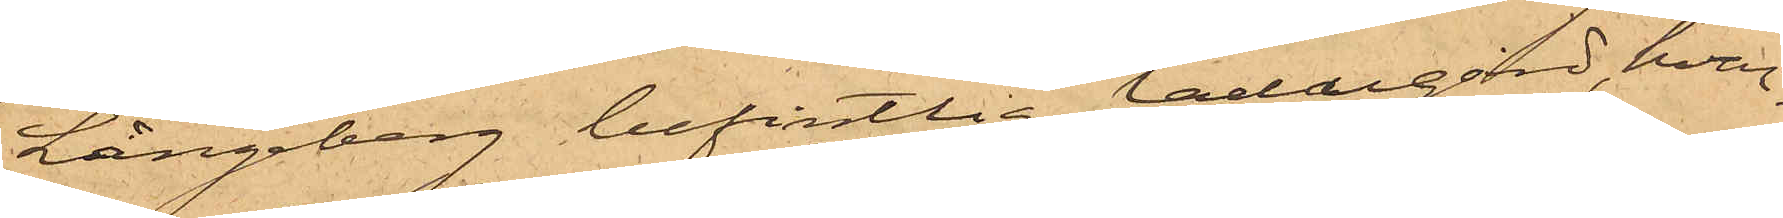Långeberg befintlig ladugård, hvar¬
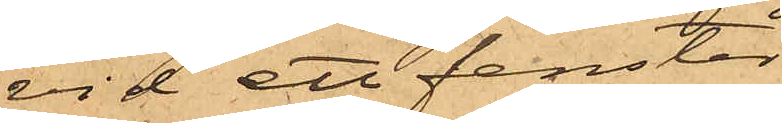vid ett fenster
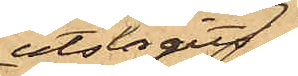utslagits
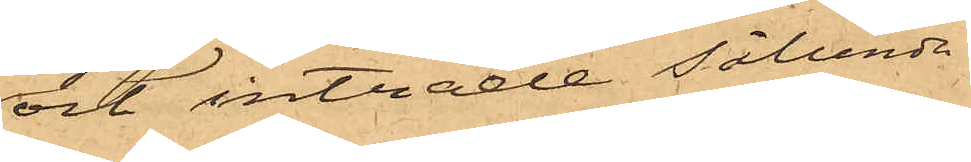och inträde sålunda
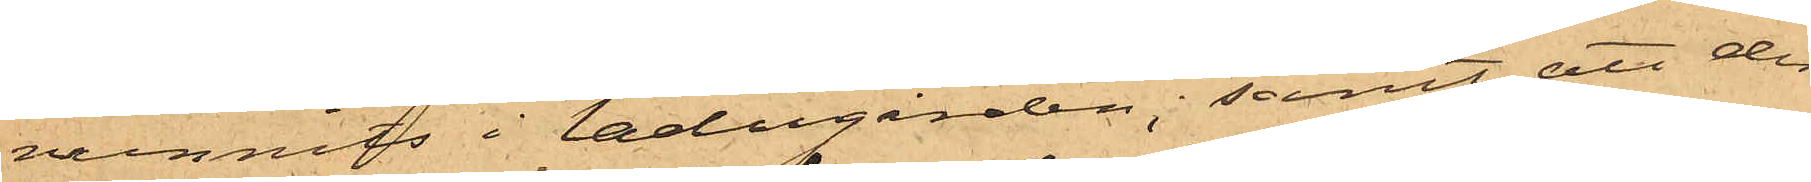vunnits i ladugården; samt att der
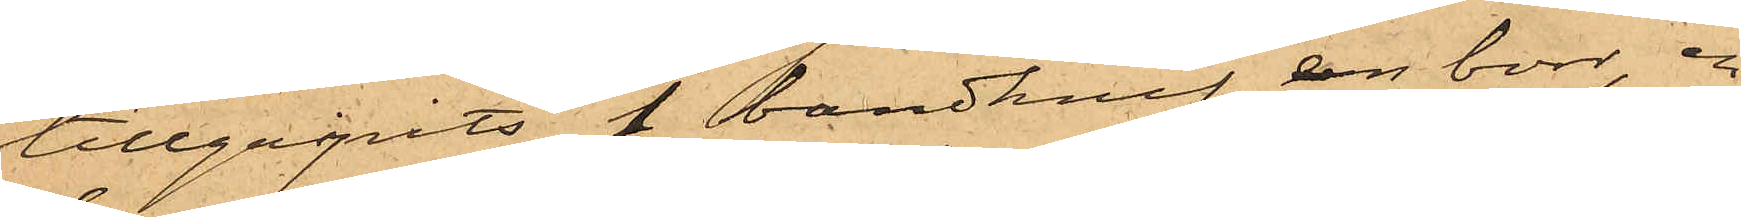tillgripits 1 bandknif, en borr, en
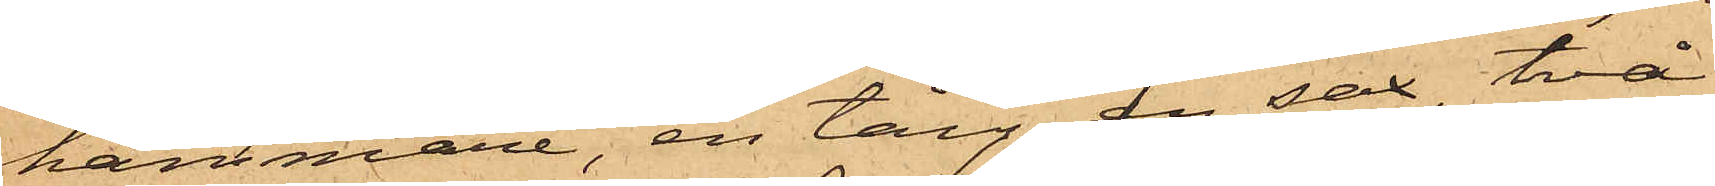hammare, en tång, en sax, två
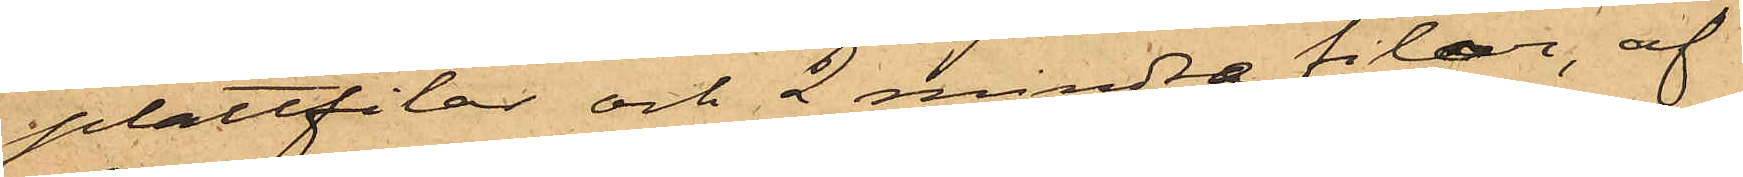plattfilar och 2 mindre filar, af
